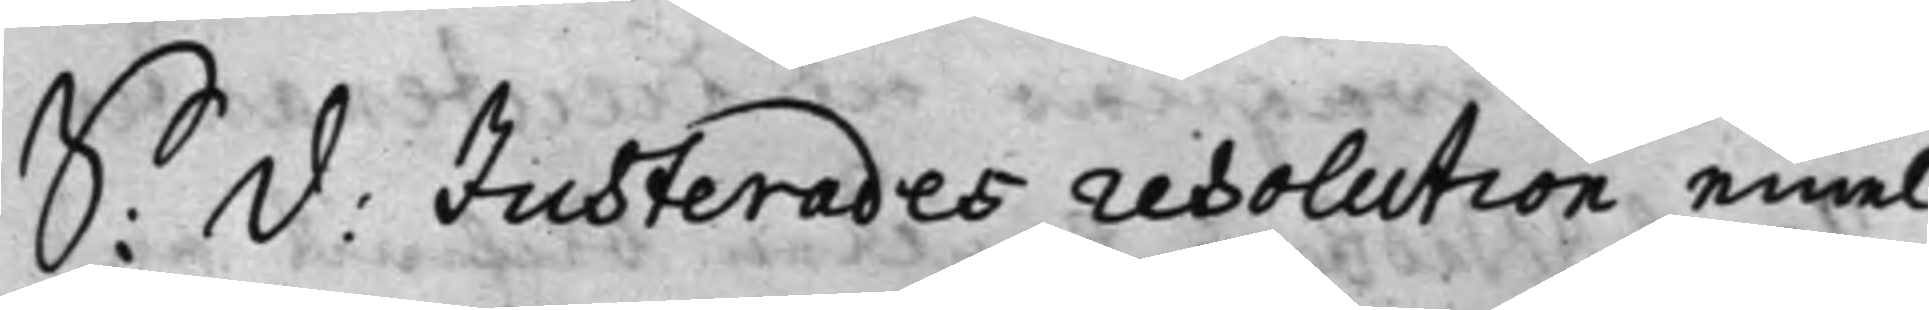S: D: Justerades resolution, emel.¬
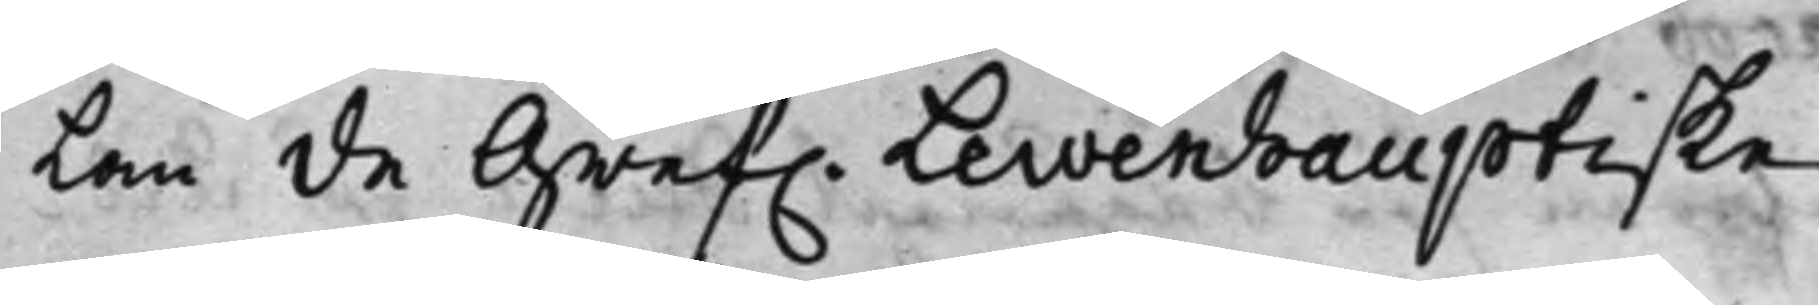lan de Gref. Lewenhauptiske
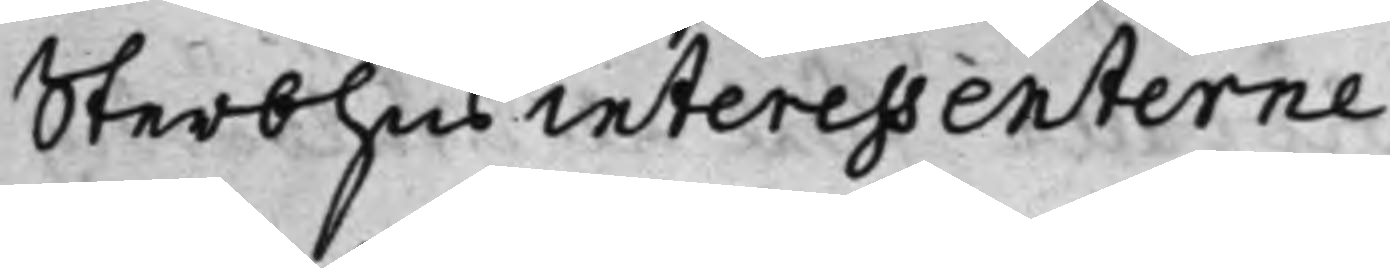Sterbhus interessenterne
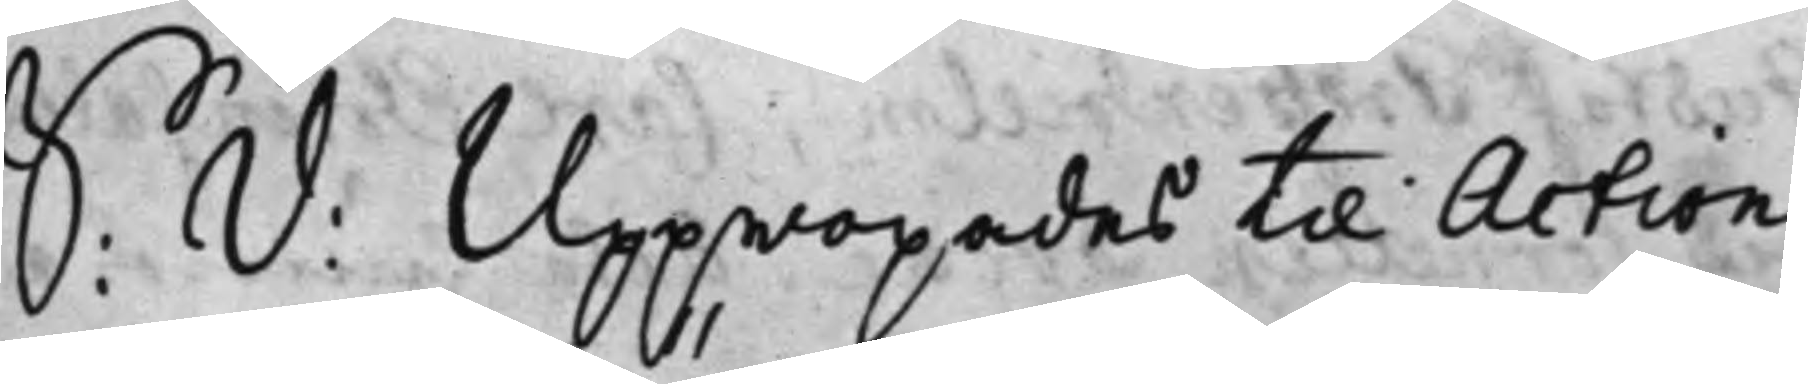S: D: Uppropades til Action
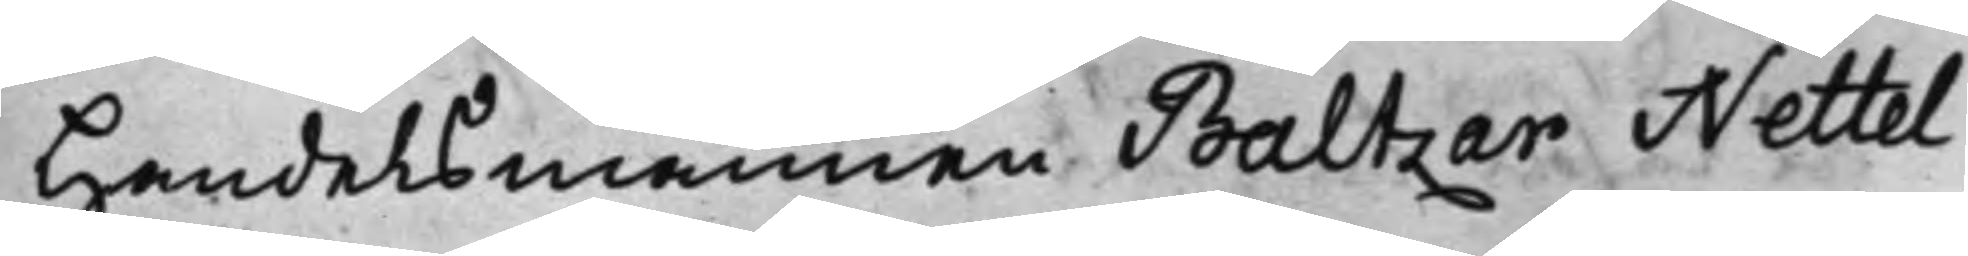Handelsmännen Baltzar Nettel¬
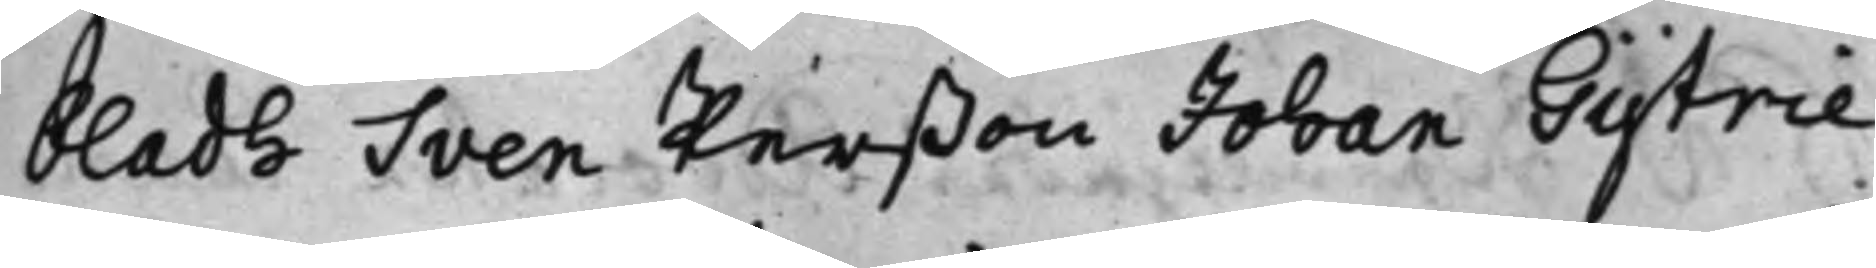bladh Sven Perßon Johan Gytrie
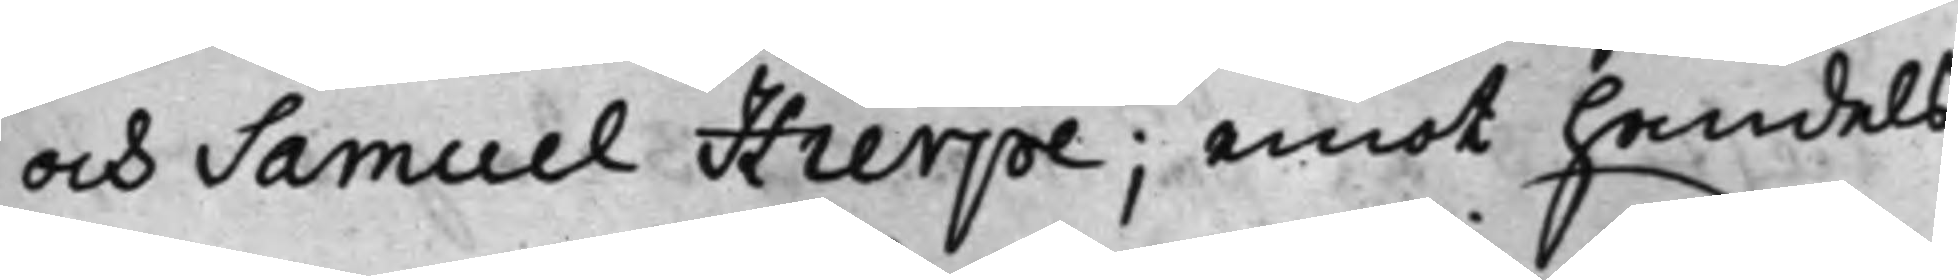och Samuel Hierpe; emot handels¬
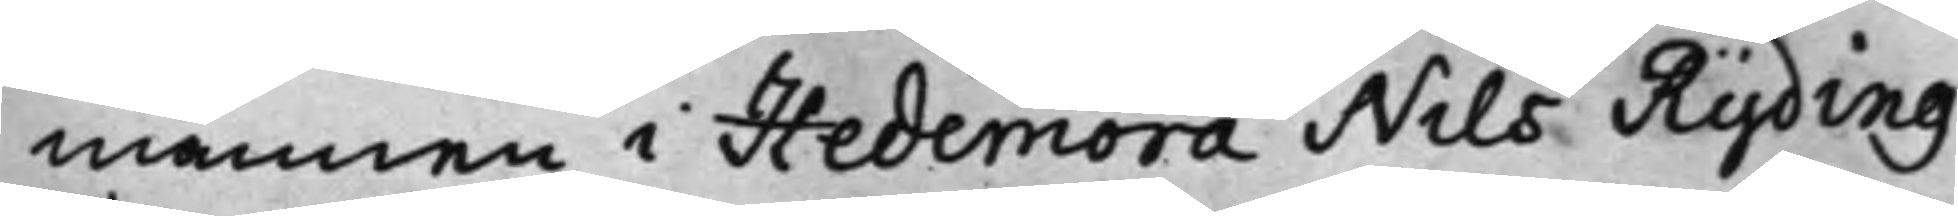mannen i Hedemora Nils Ryding
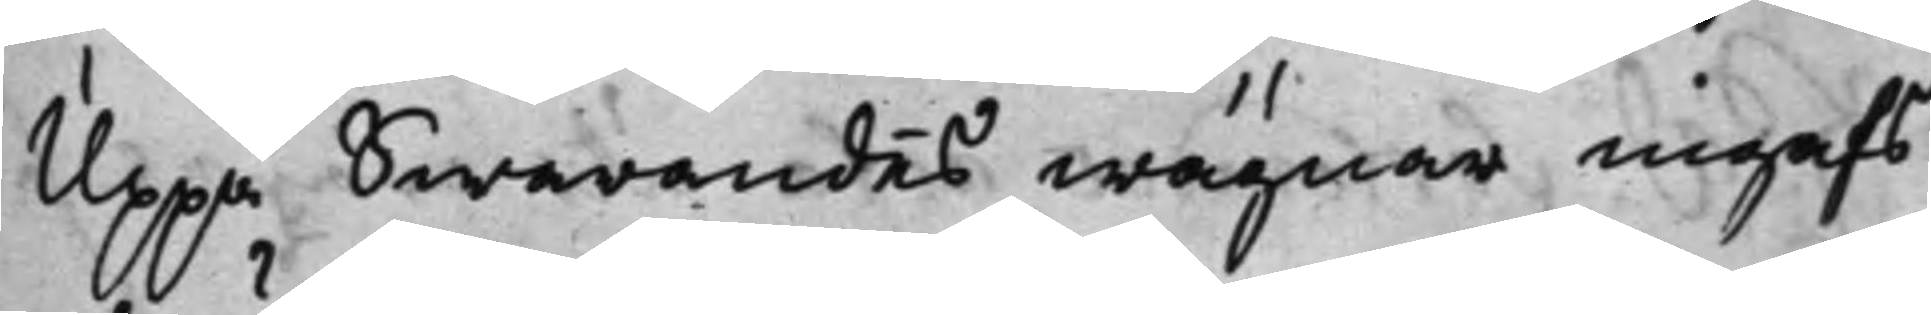Uppå Swarandes wägnar ingafs
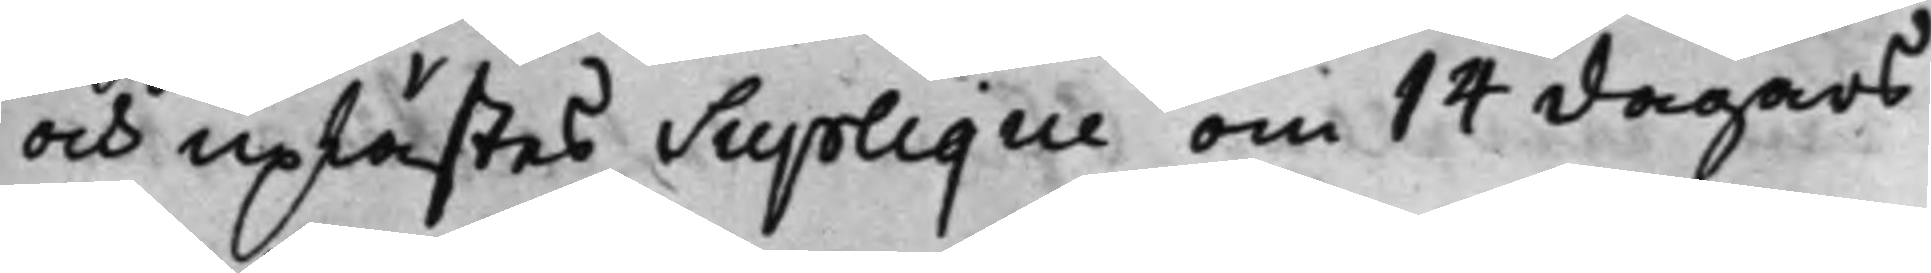och uplästes Suplique om 14 dagars
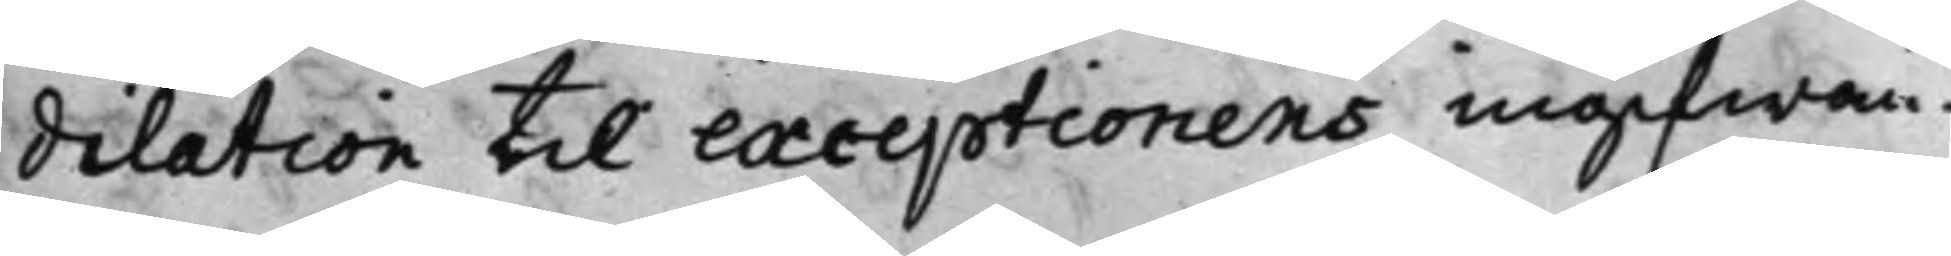dilation till exceptionens ingifwan¬
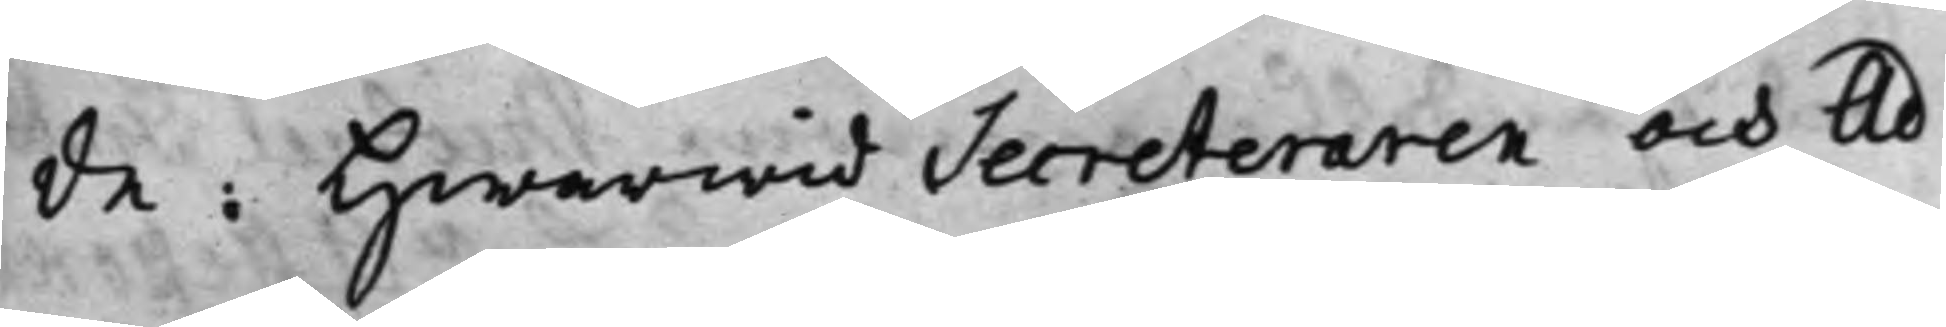de: Hwarwid Secreteraren och Ad¬
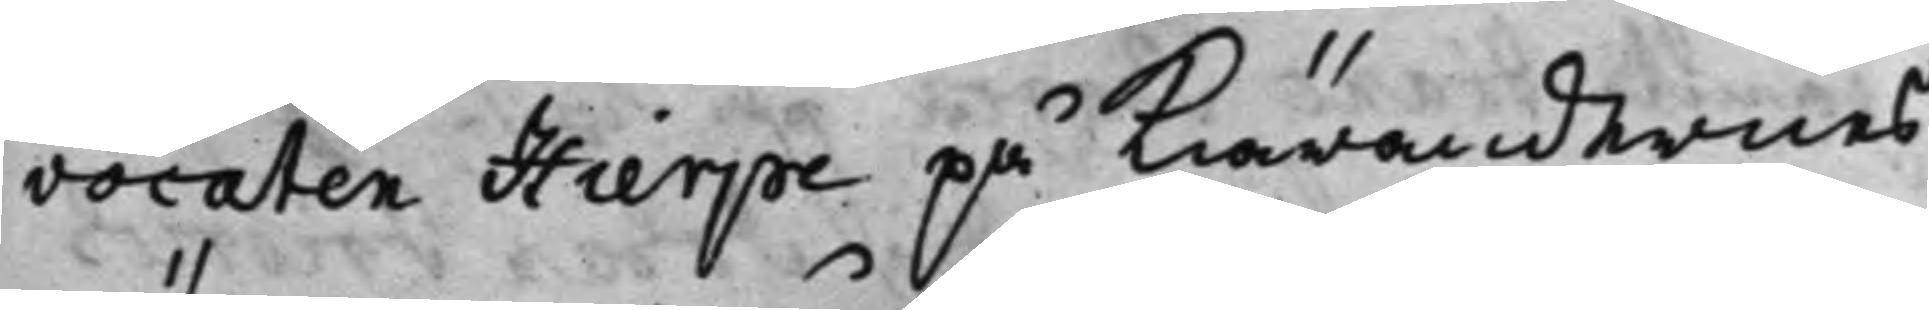vocaten Hierpe på Kiärandernes
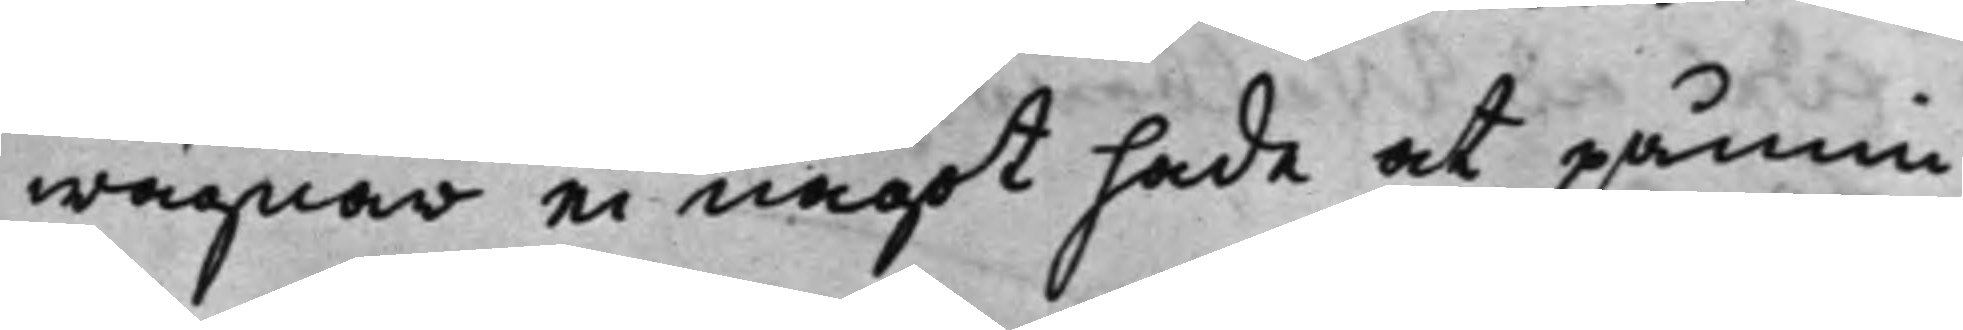wägnar ei något hade at påmin¬
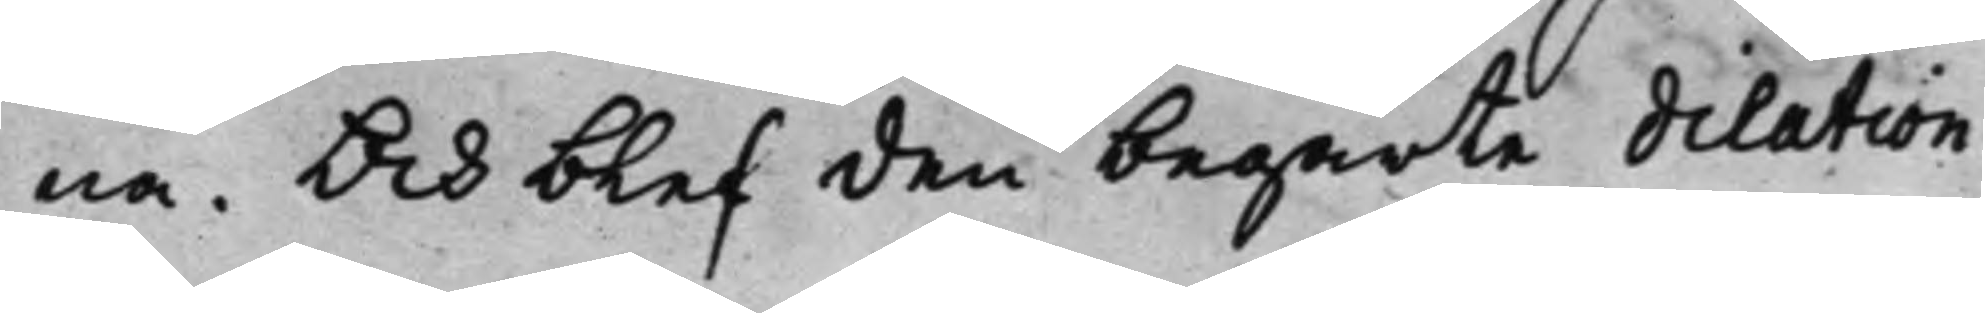na. Och blef den begärte dilation
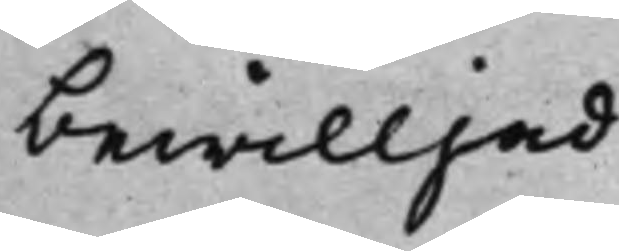bewilljad.
